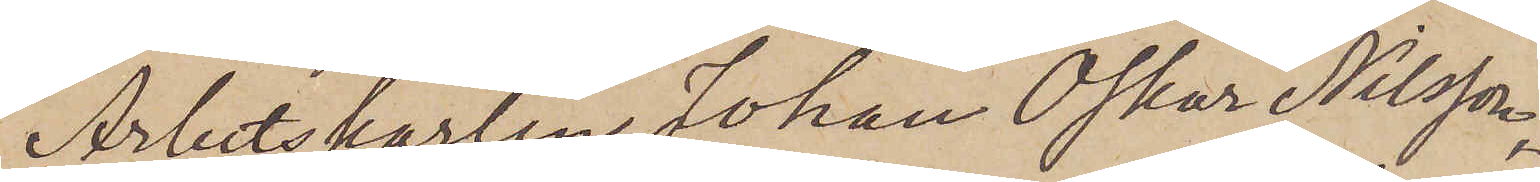Arbetskarlen Johan Oskar Nilsson,
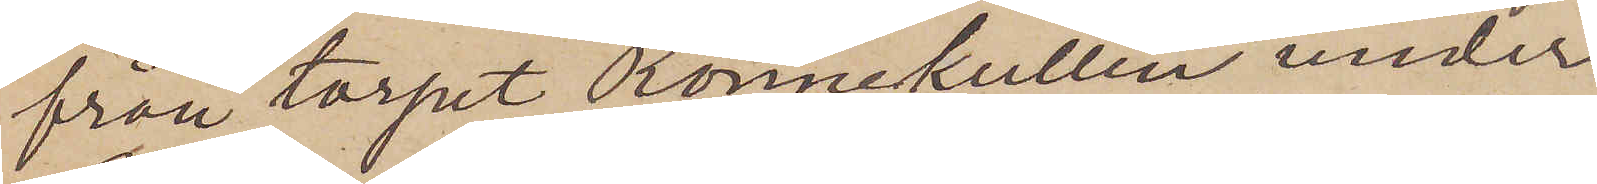från torpet Rönnekullen under
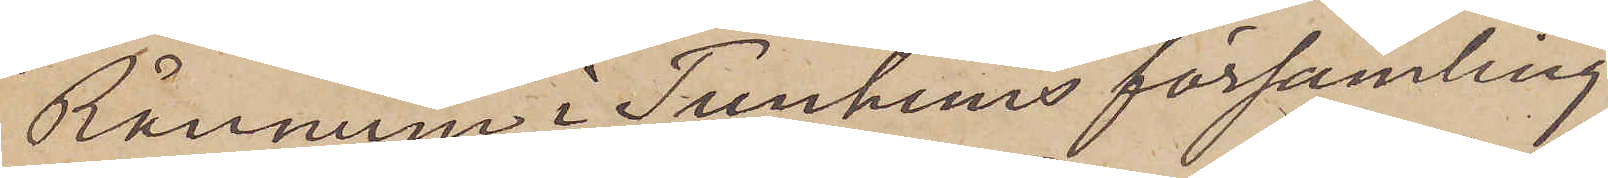Rånnum i Tunhems församling
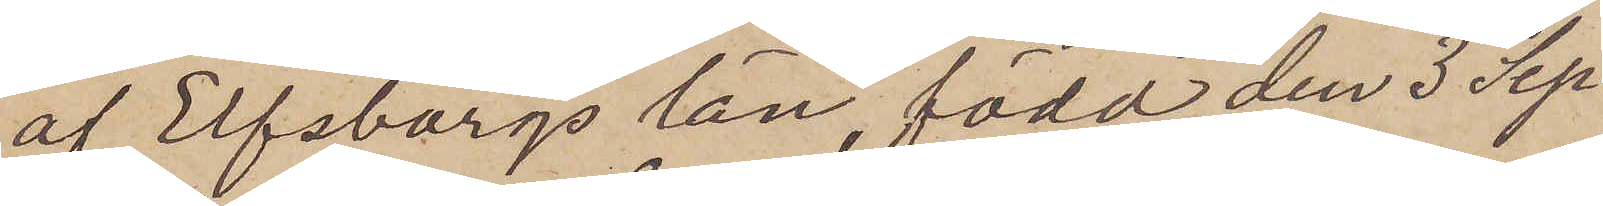af Elfsborgs län, född den 3 Sep¬
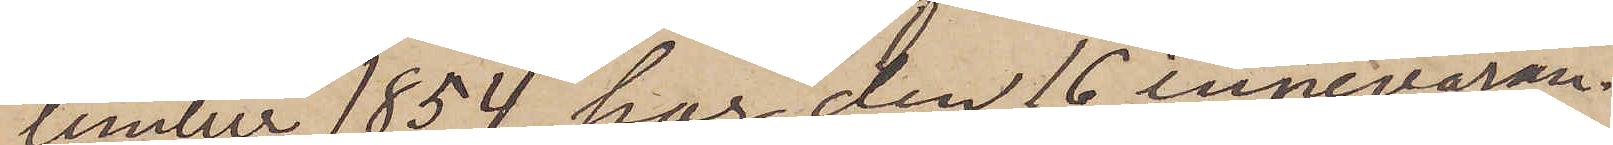tember 1854, har den 16 innevaran¬
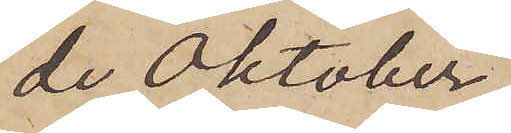de Oktober
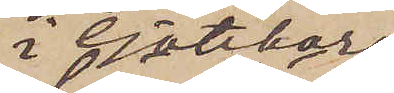i Göteborg
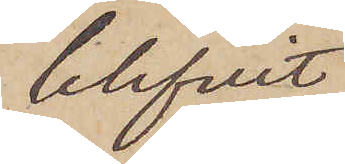blifvit
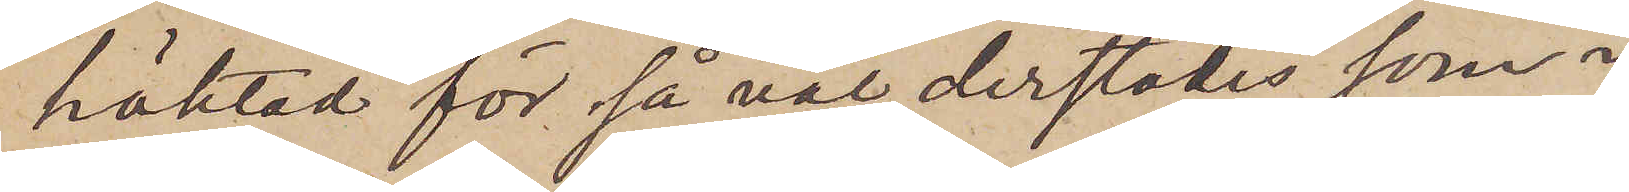häktad för så väl derstädes som i
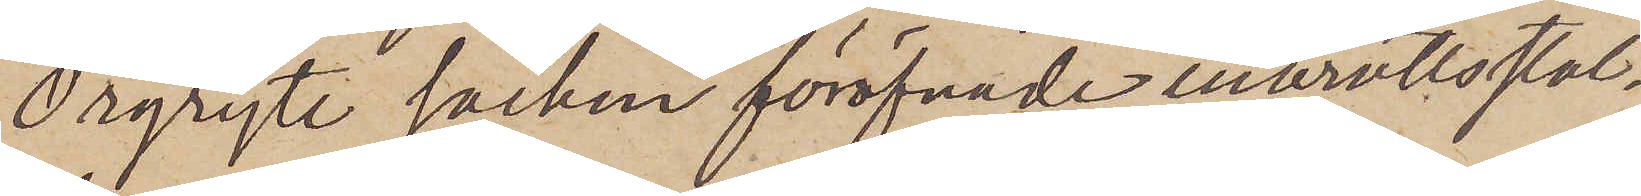Örgryte socken föröfvade inbrottsstöl¬
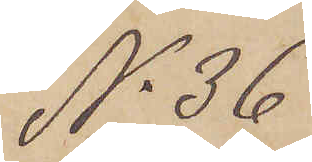No 36
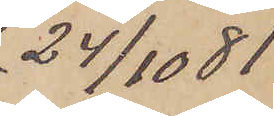24/10  81
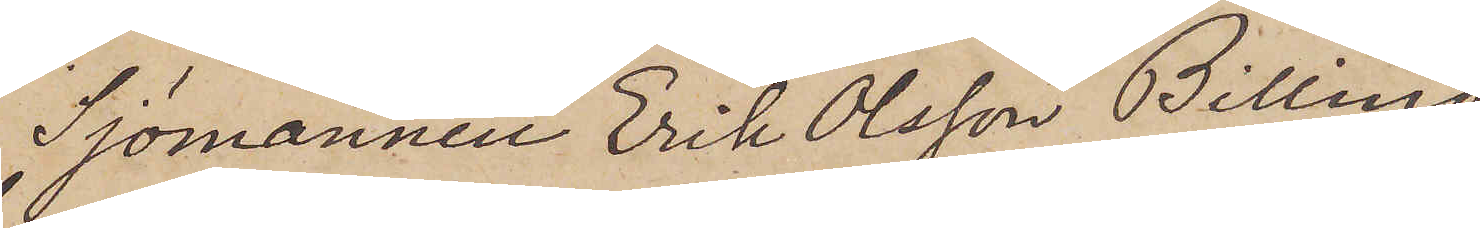Sjömannen Erik Olsson Billing,
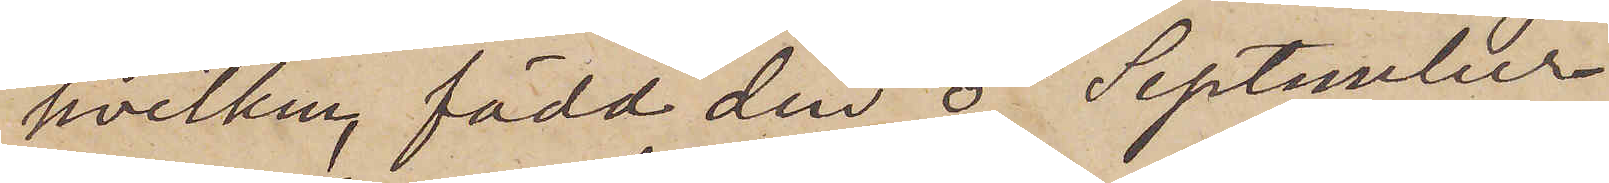hvilken född den 5 September
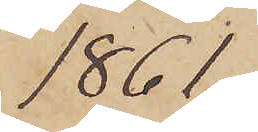1861,
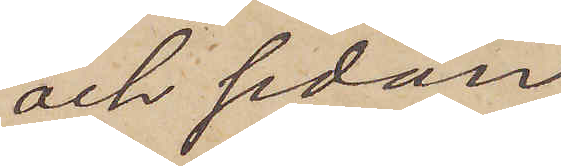och sedan
